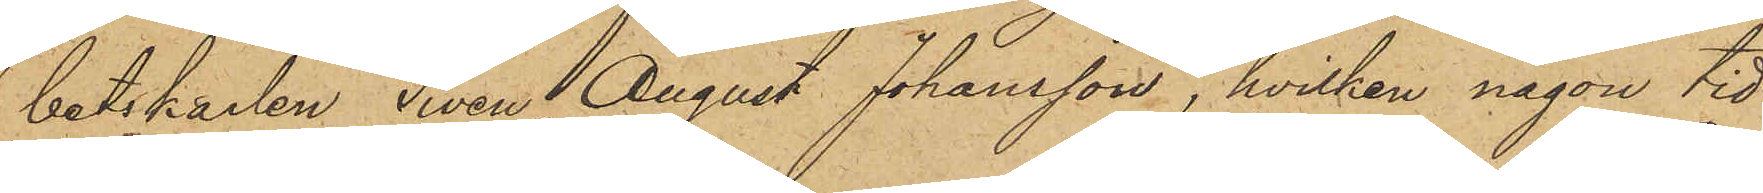betskarlen Sven August Johansson, hvilken någon tid
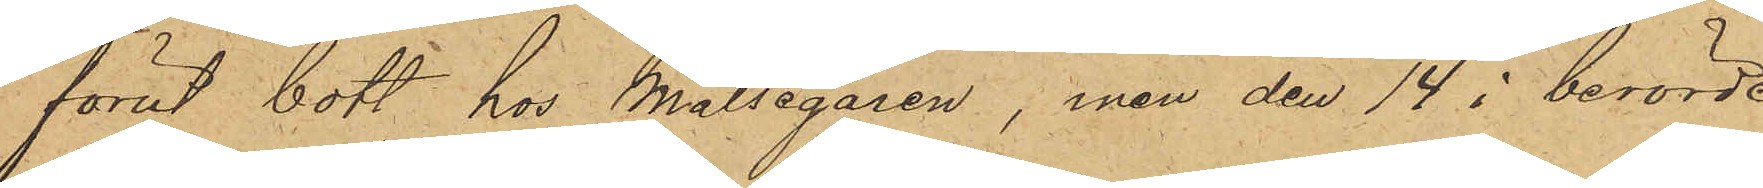förut bott hos Målsegaren, men den 14 i berörde
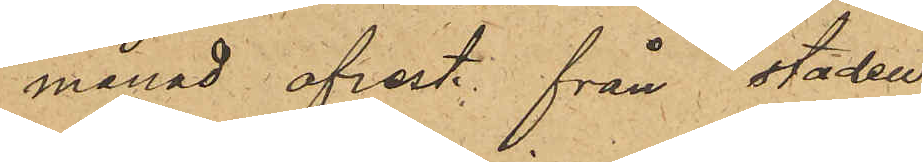månad afrest från staden.
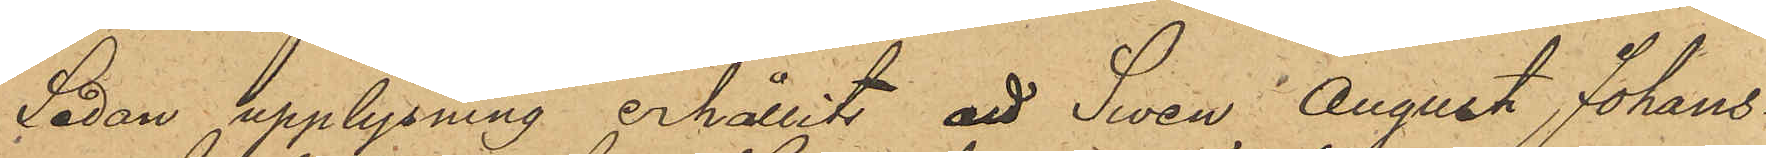Sedan upplysning erhållits att Swen August Johans¬
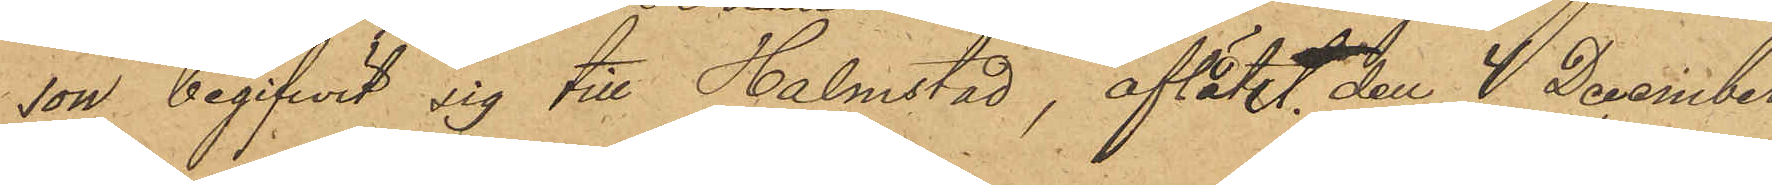son begifwit sig till Halmstad, aflätet den 4 December
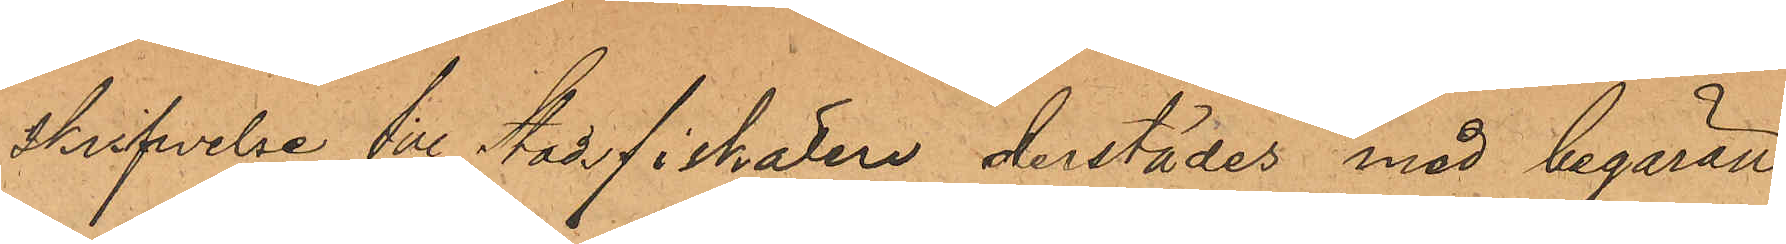skrifwelse till Stadsfiskalen derstädes med begäran
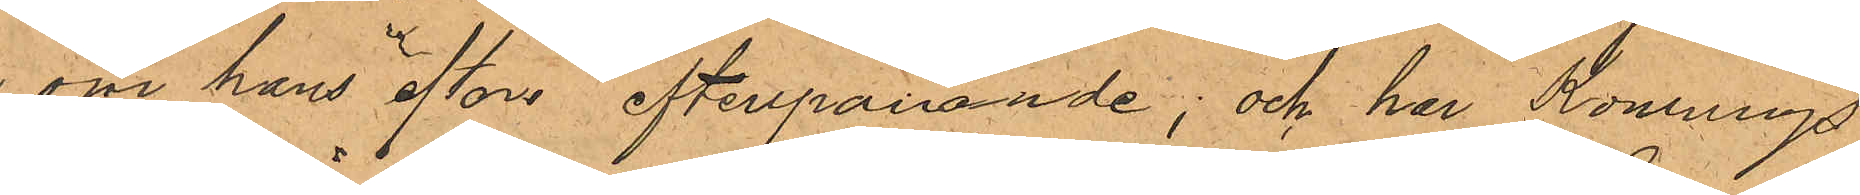om hans efter efterspanande; och har Konungs
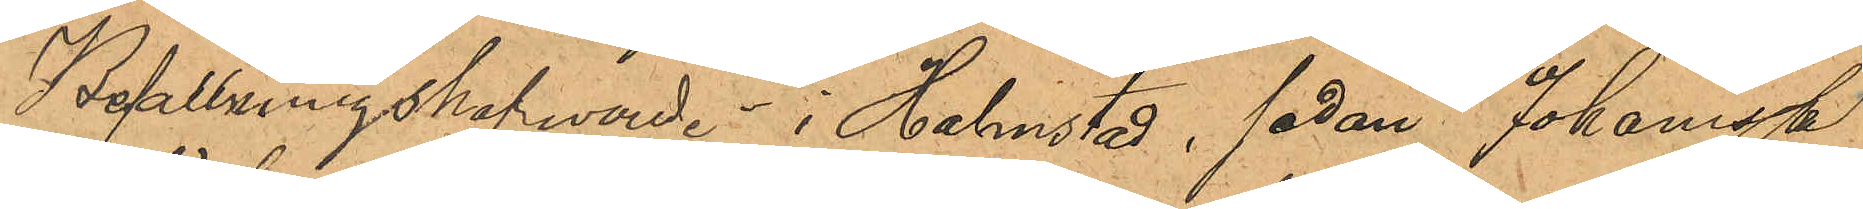Befallningshafwande i Halmstad, sedan Johansson
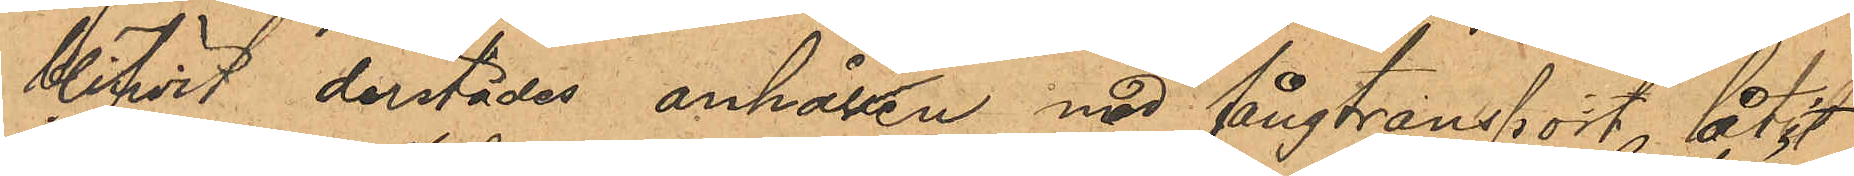blifwit derstädes anhållen med fångtransport låtit
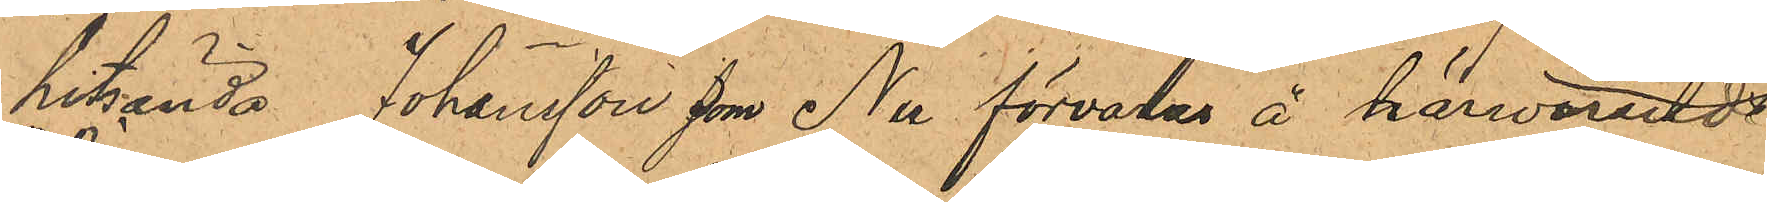hitsända Johansson som Nu förvaras å härwarade
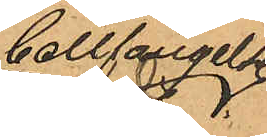Cellfängelse
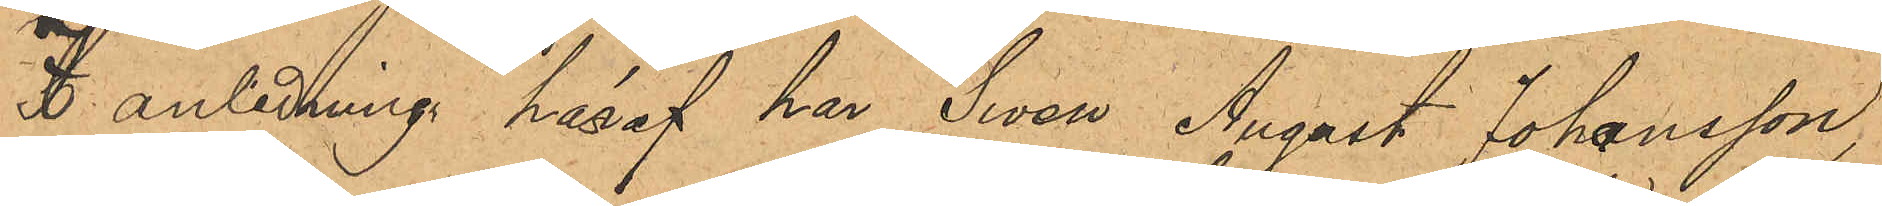I anledning häraf har Swen August Johansson,
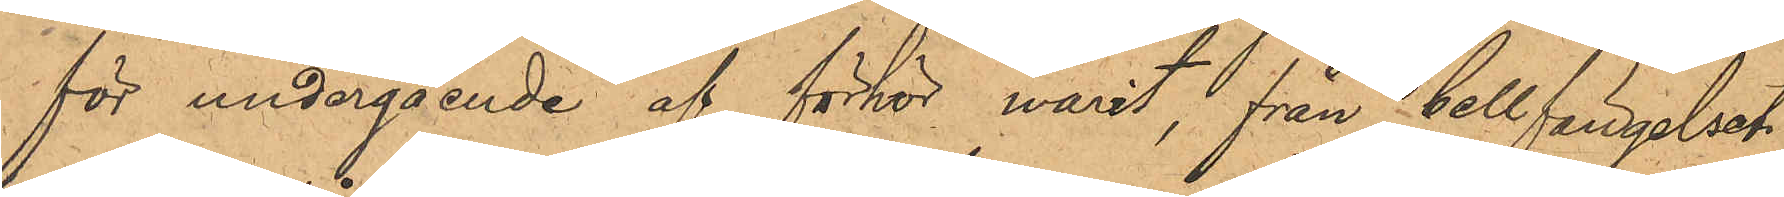för undergående af förhör warit, från Cellfängelset
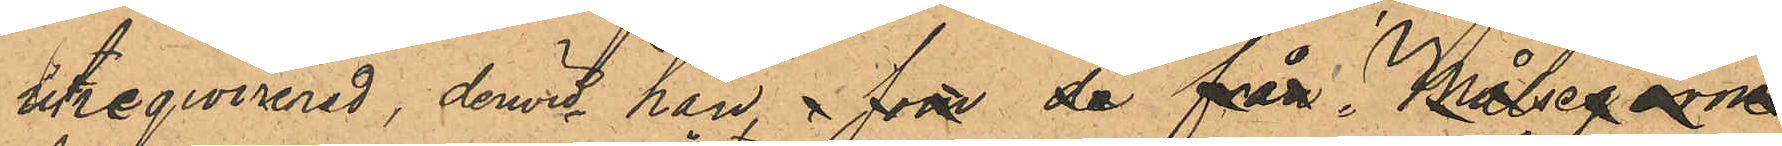utreqwirerad, derwid han , som de från Målsegarne
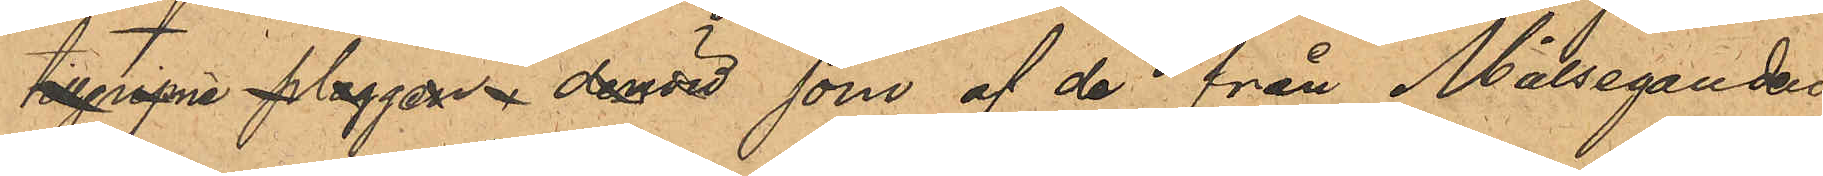tillgripne plaggen, dervid som af de från Målseganden.
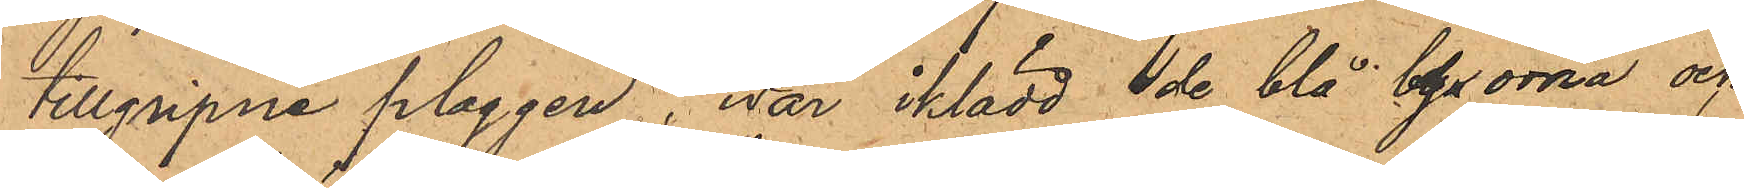tillgripne plaggen, war iklädd de blå byxorna och
